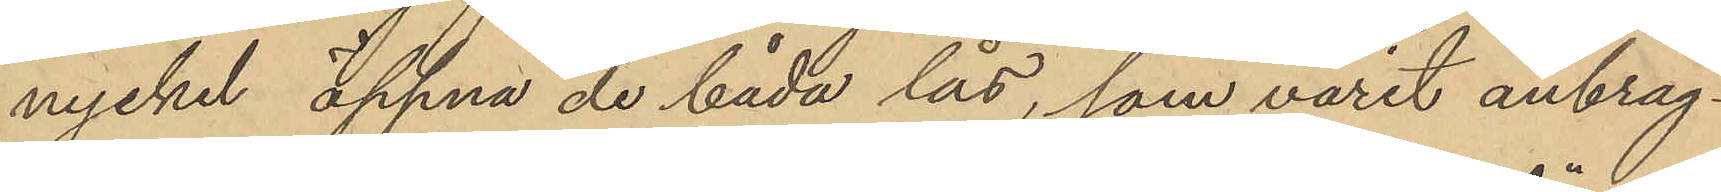nyckel öppna de båda lås, som varit anbrag¬
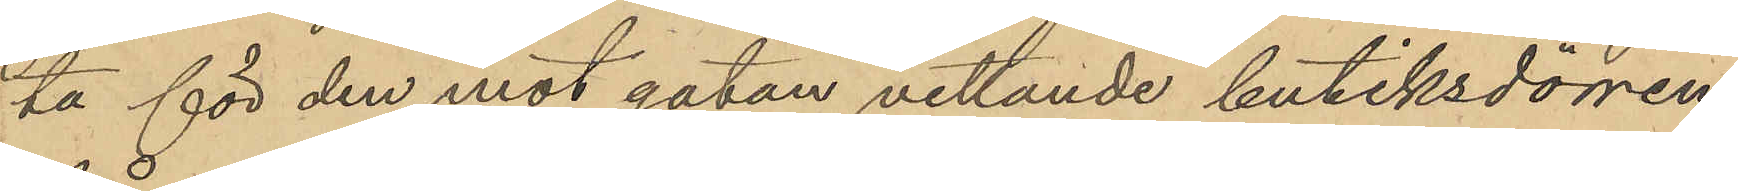ta för den mot gatan vettande butiksdörren
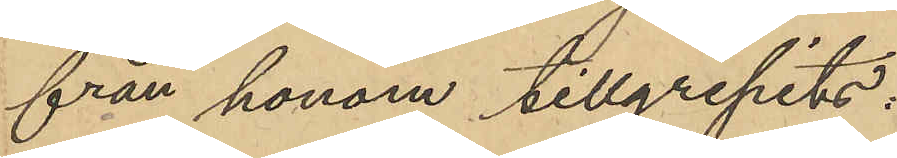från honom tillgripits:
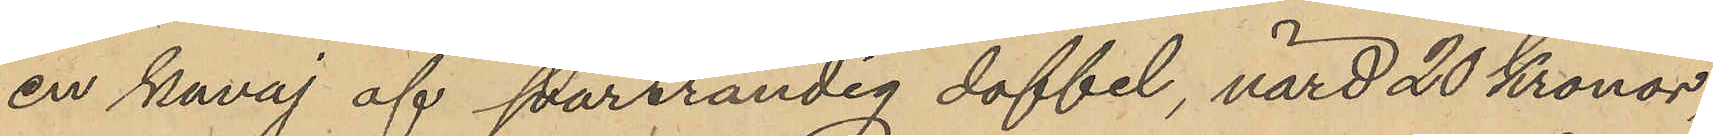en kavaj af svartrandig doffel, värd 20 Kronor,
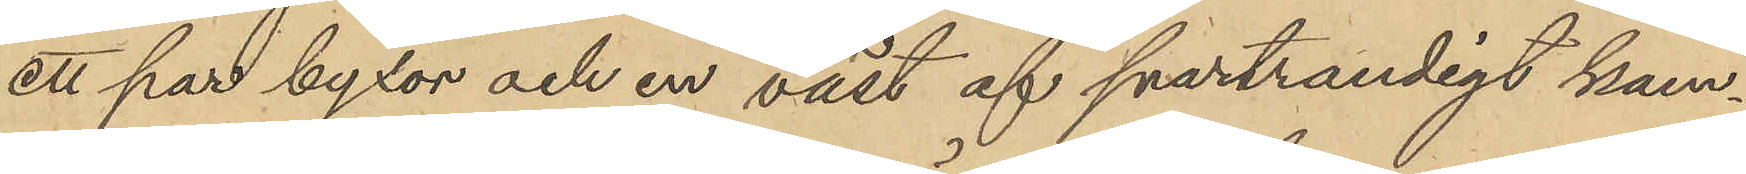ett par byxor och en väst af svartrandigt kam¬
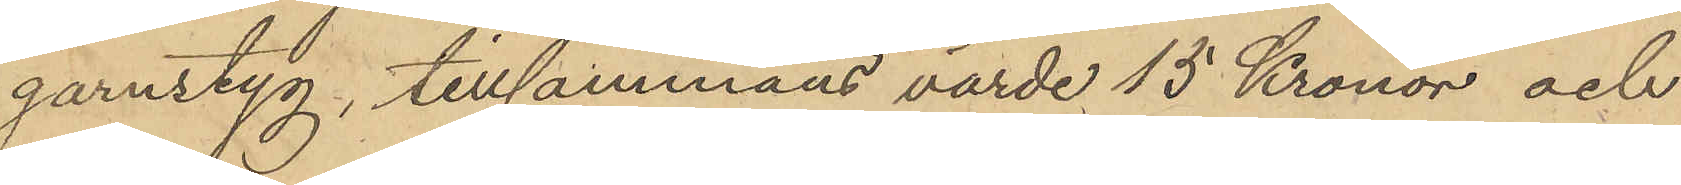garnstyg, tillsammans värde 15 Kronor och
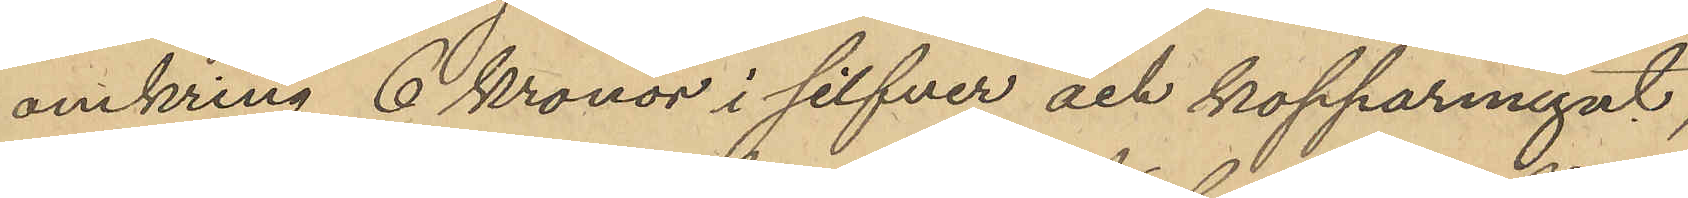omkring 6 Kronor i silfver och kopparmynt,
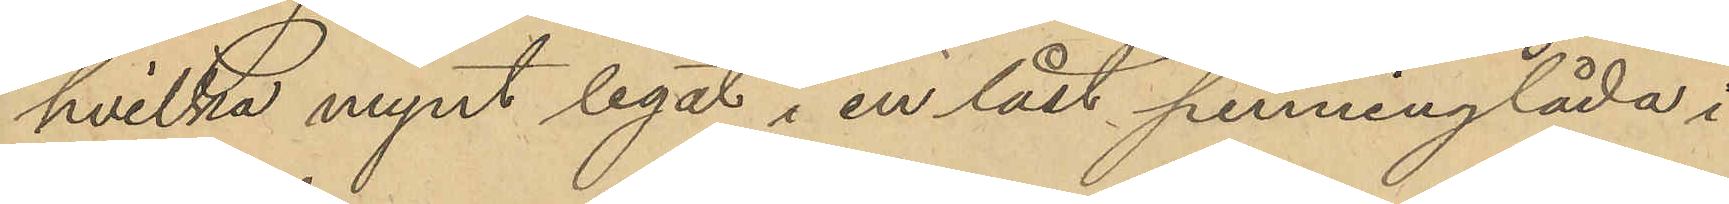hvilka mynt legat i en låst penninglåda i
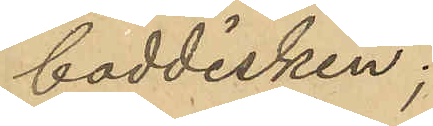boddisken;
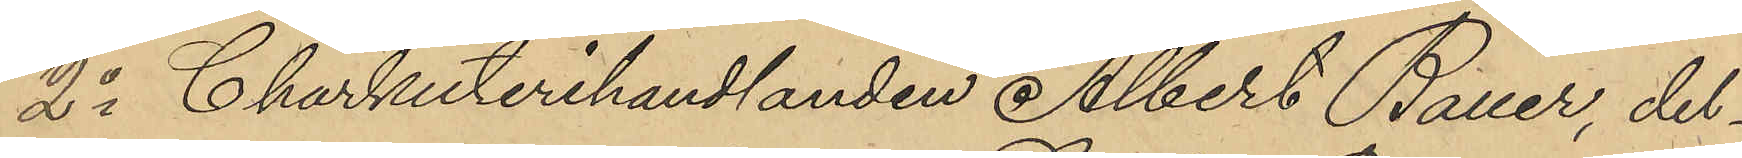2o Charkuterihandlanden Albert Bauer, del¬
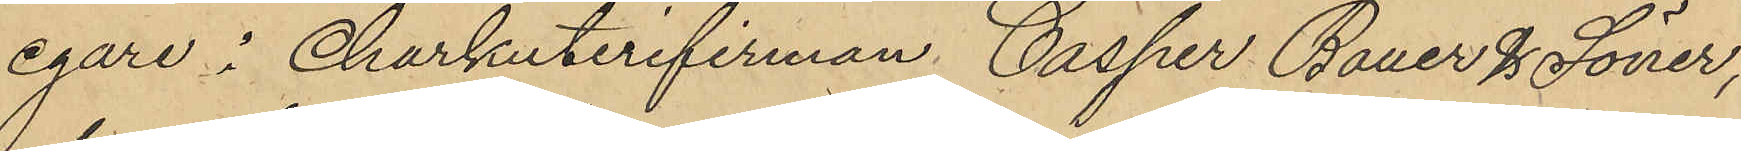egare i Charkuterifirman, Casper Bauer & Söner,
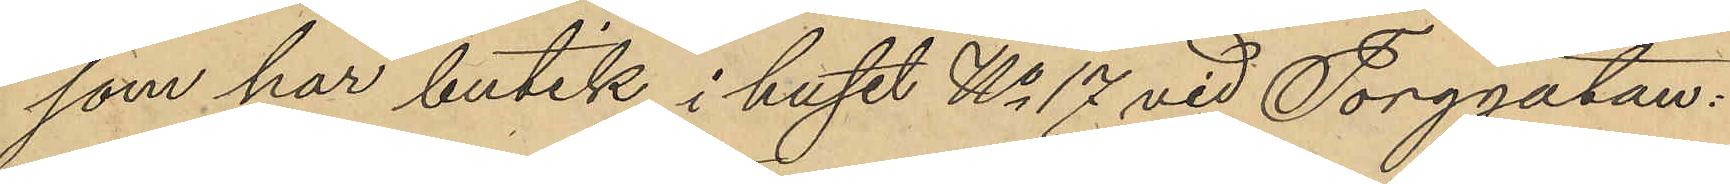som har butik i huset No 17 vid Torggatan:
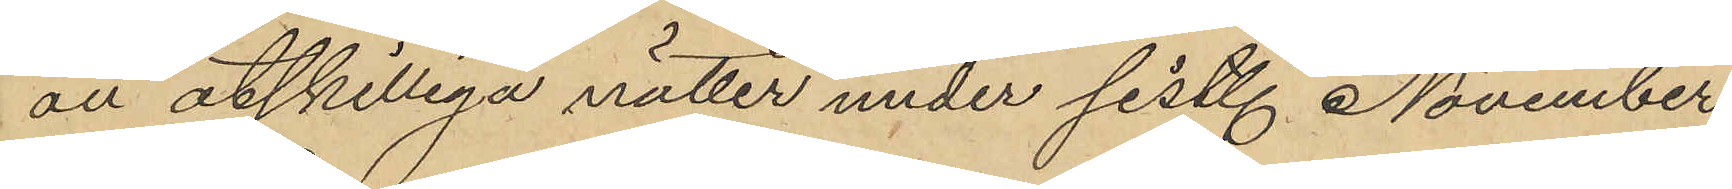all åtskilliga nätter under sist. November
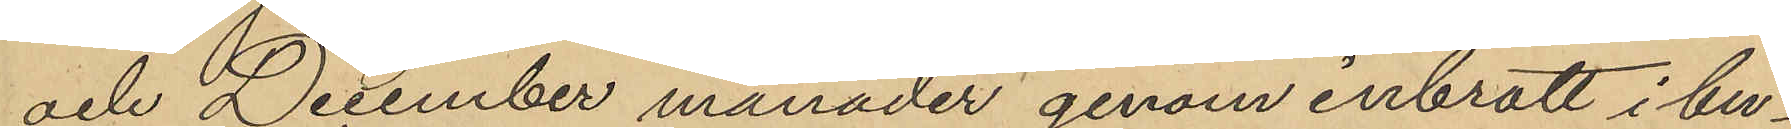och December månader genom inbrott i bu¬
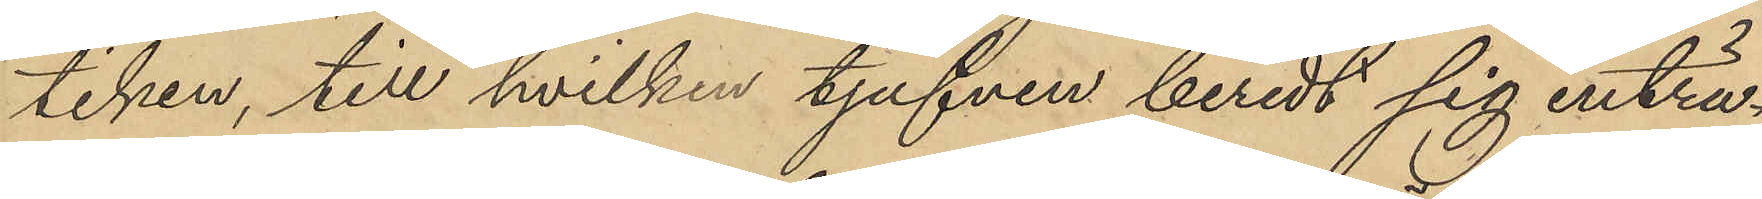tiken, till hvilken tjufven beredt sig inträ¬
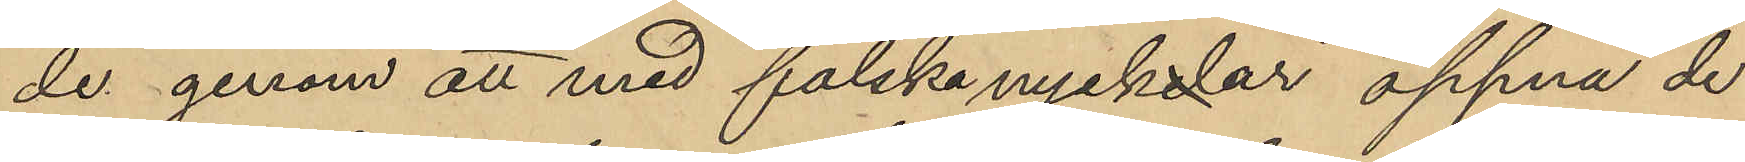de genom att med falska nycklar öppna de
